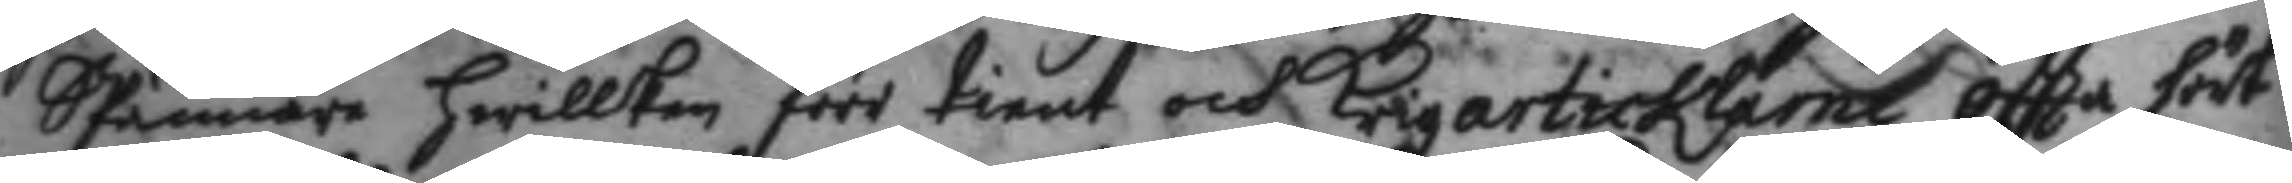SPännare hwilken förr tient och Krigzarticklarne oftta hört
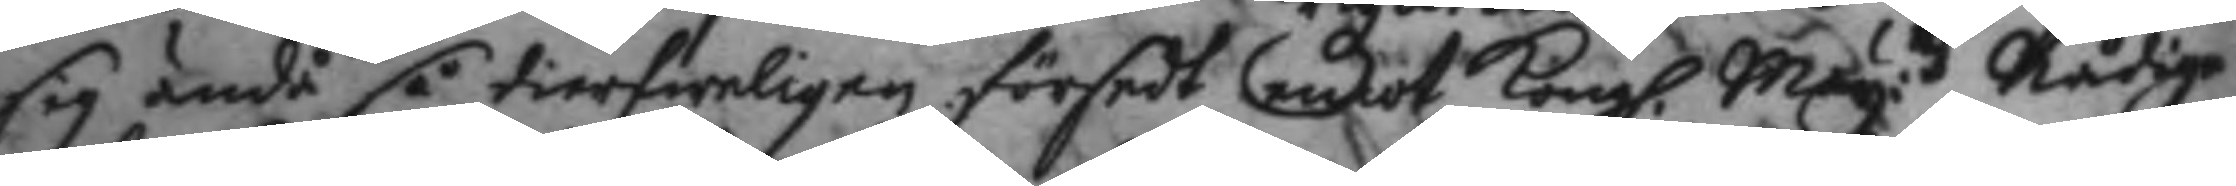sig ändå så tierfirnligen försedt emot Kong. May:ttz Nådige
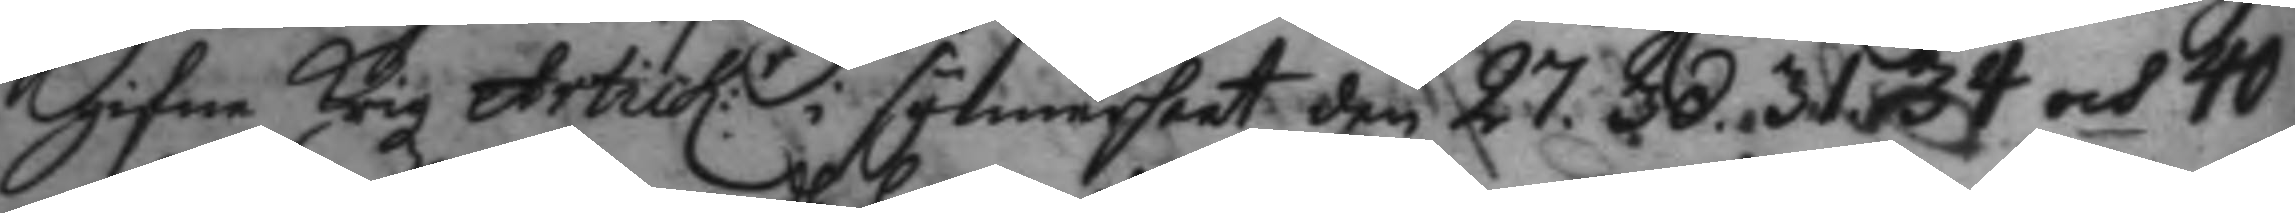gifne Krigz Artick:r i synnerhet den 27. 30. 31. 34 och 40
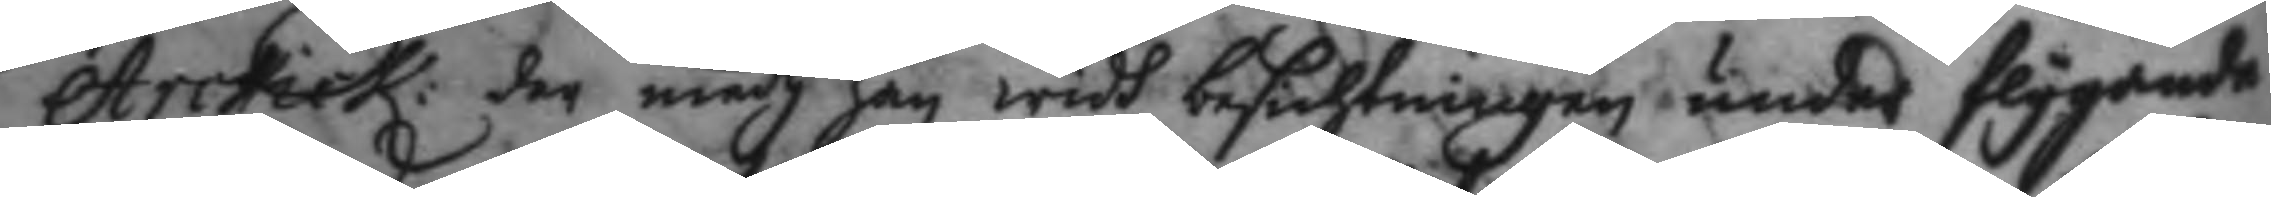Artick: der medh han widh befallningen under flygande
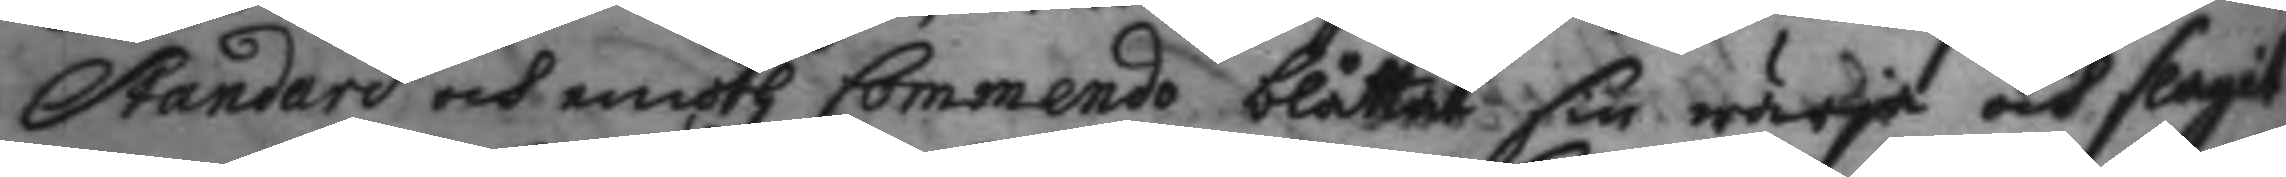standard och emoth Commendo blåttat sin wärja och slagit
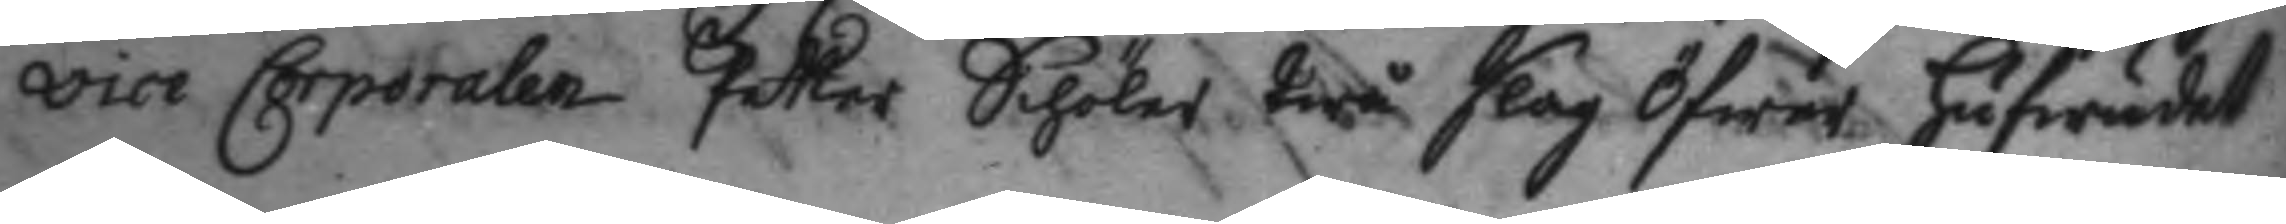vice Corporalen Petter Schöler twå slag öfwer hufwudet
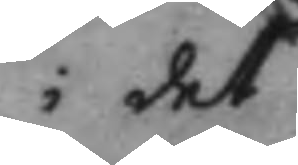i det
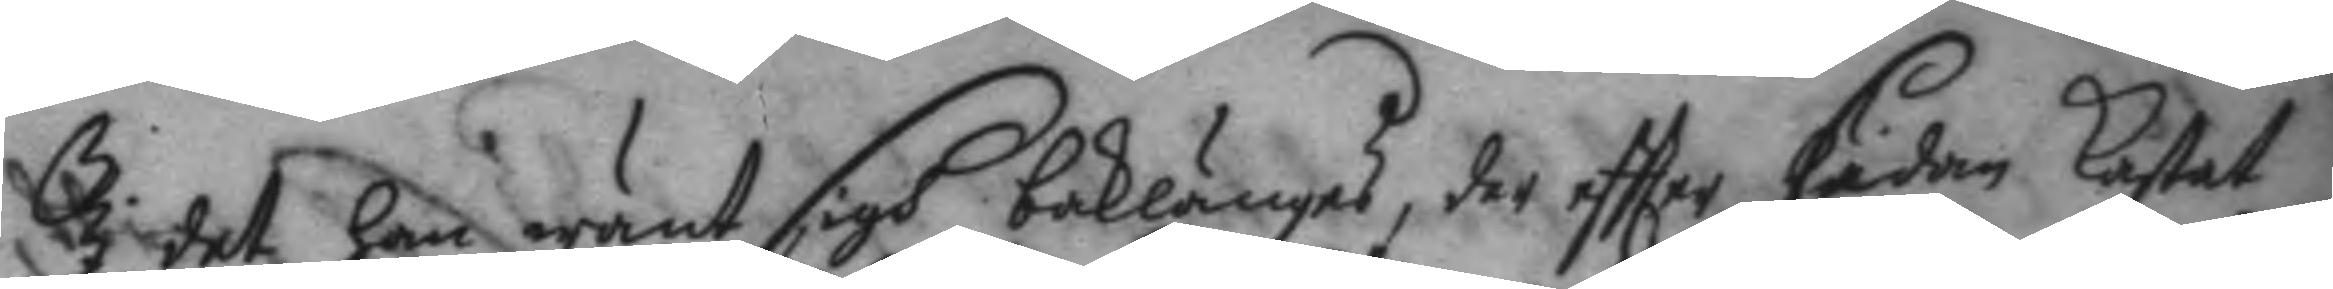I det han wänt sigh baklänges, der eftter sedan kastat
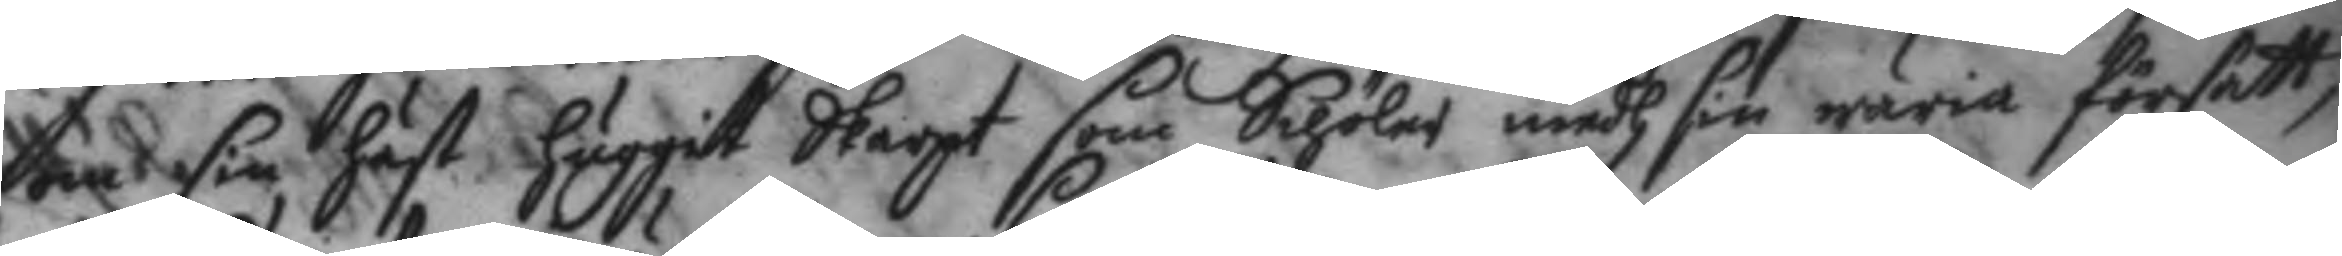om sin häst huggit skarpt som Schöler medh sin wäria försett,
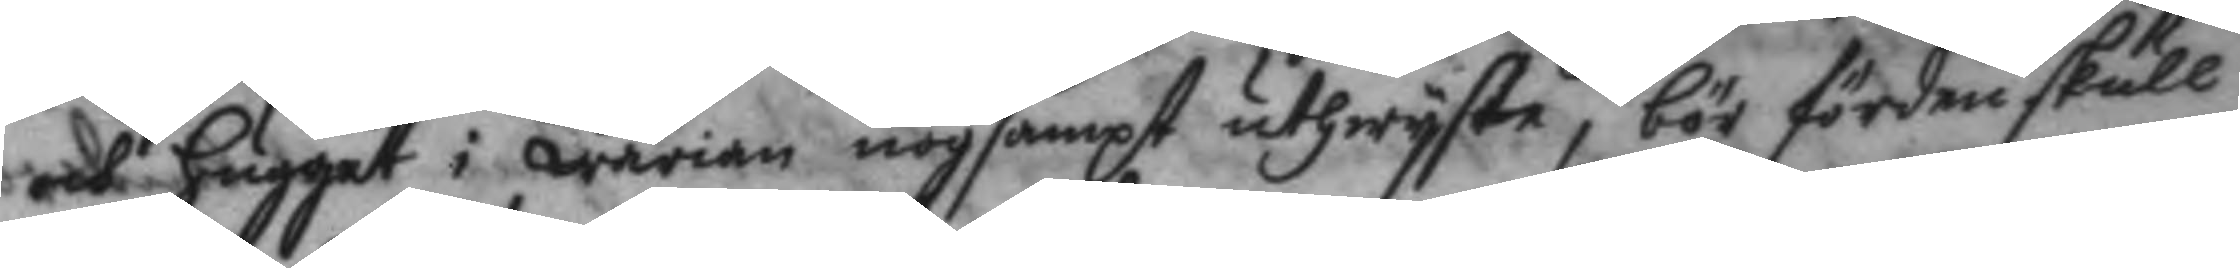och hugget i wärian nog sampt uthwyste, bör fördenskull
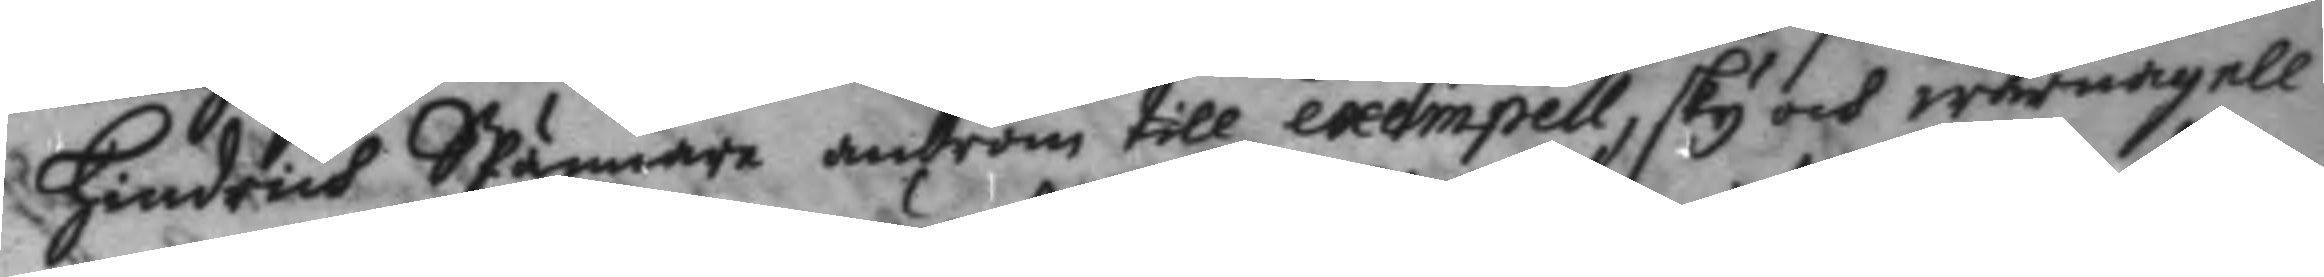Hindrich SPännare androm till exempell, sky och warnagell
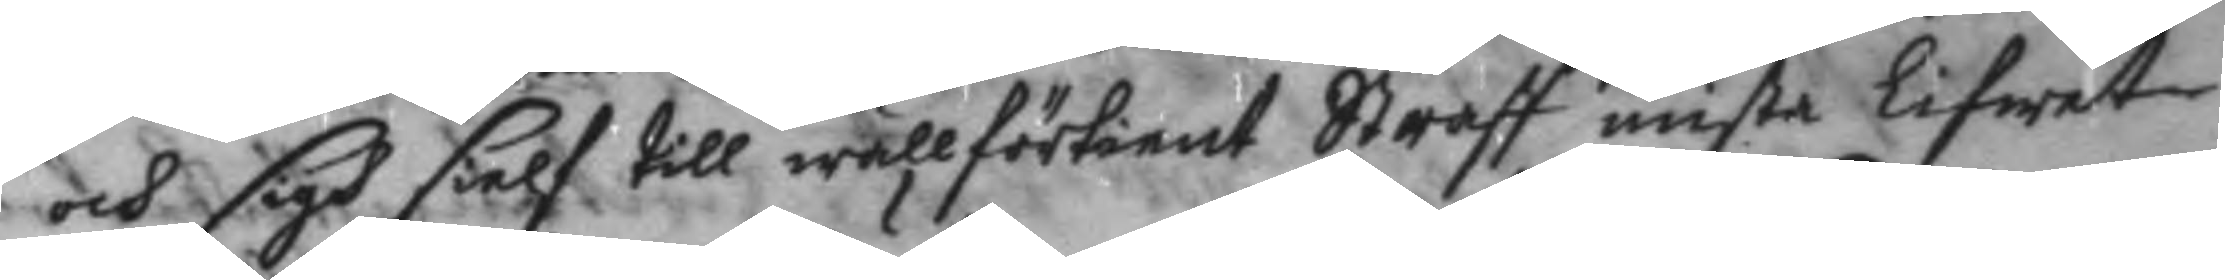och sigh sielf till wällförtient Straff mista Lifwet
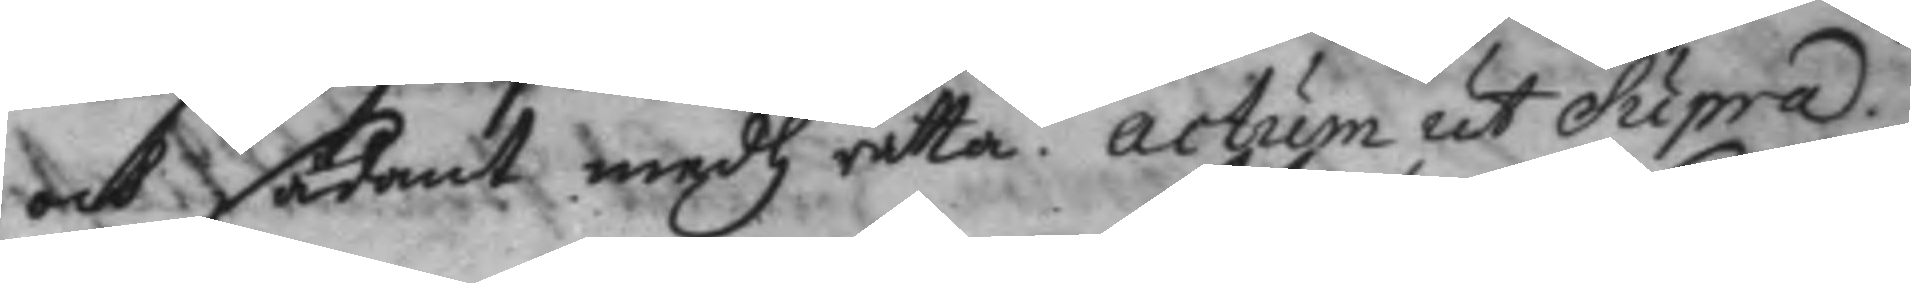och sådant medh rätta. actum ut Supra.
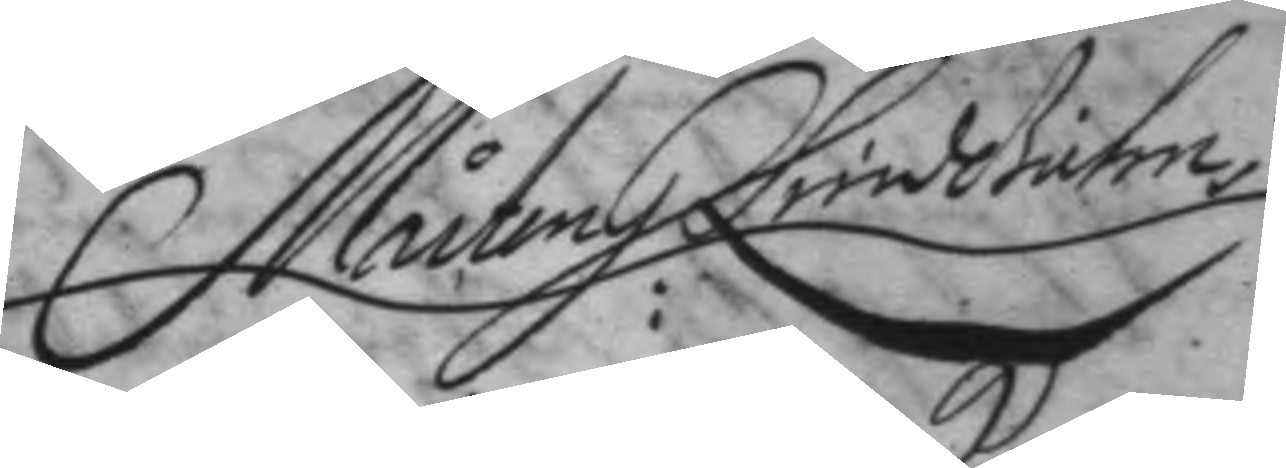Mårten H: Lindehielm
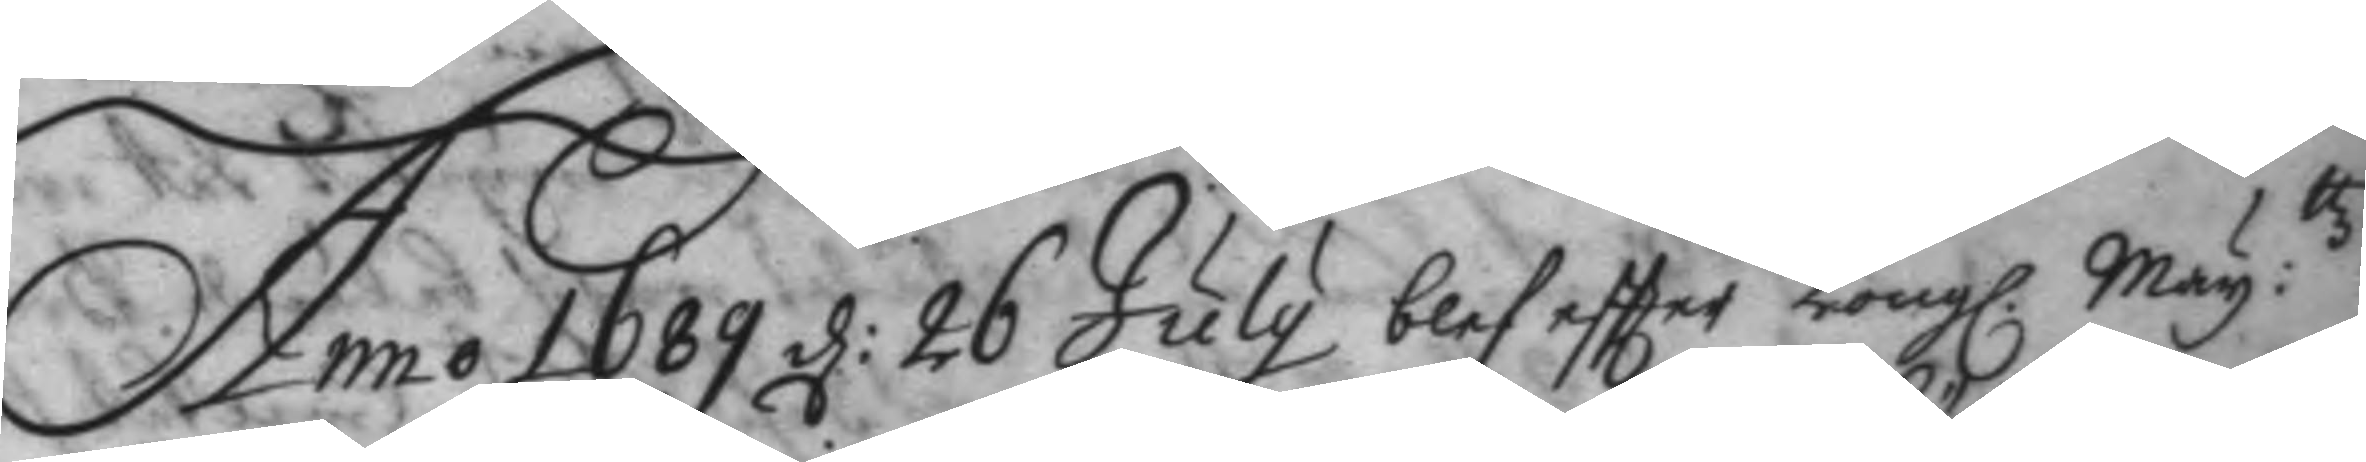Anno 1689 d: 26 July blef eftter Kongl. May:ttz
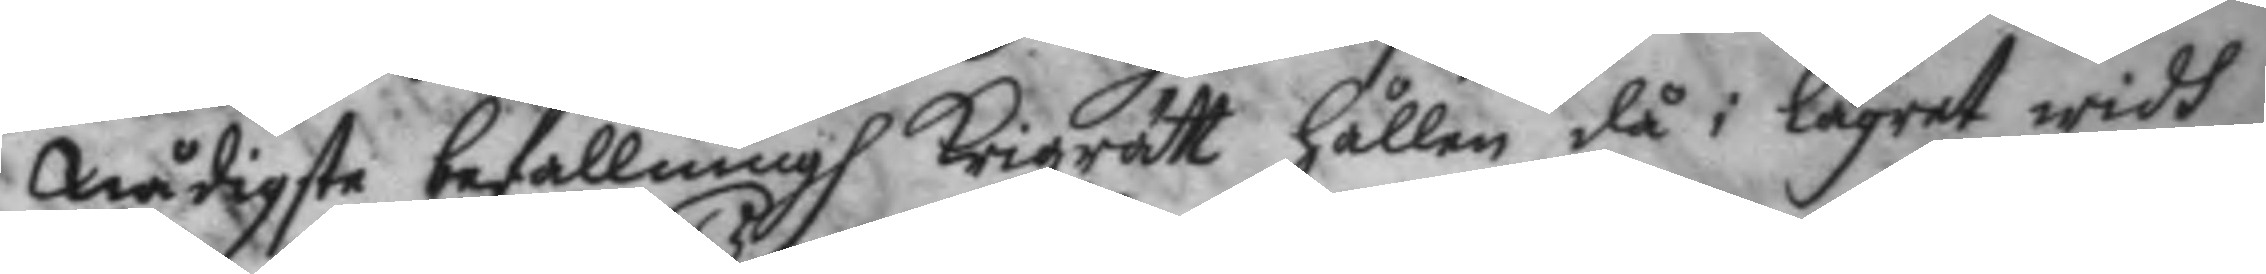Nådigste befallning Krigzrätt hållen då i lägret widh
